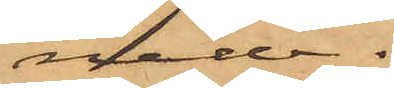nade.
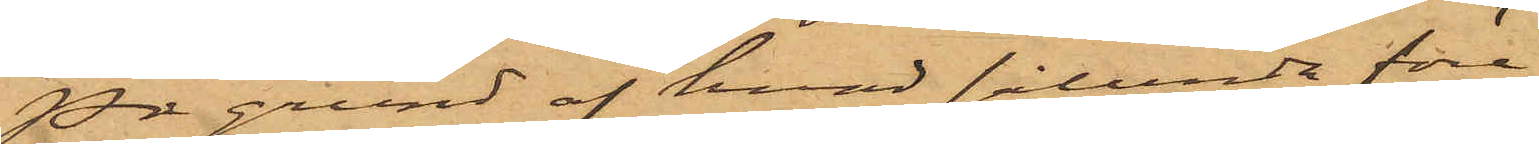På grund af hvad sålunda före¬
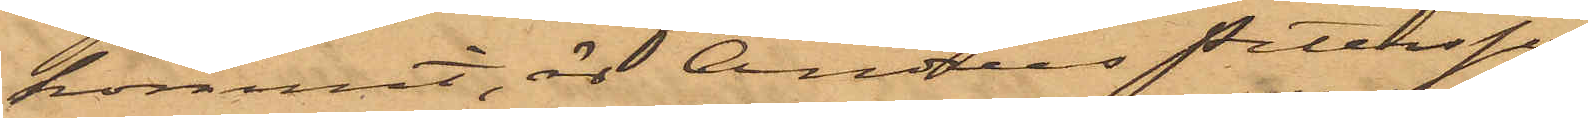kommit, är Andreas Petersson,
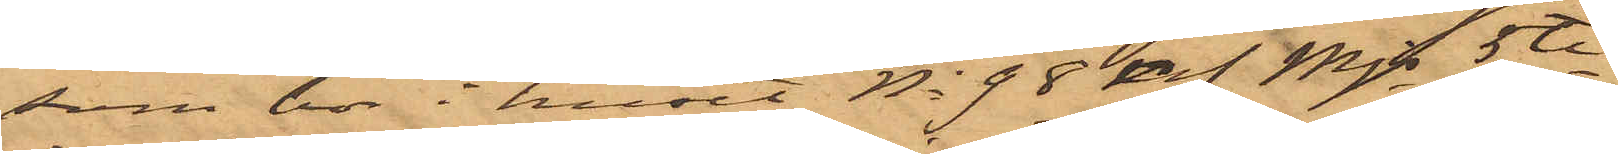som bor i huset No 98 i Mjs 5te
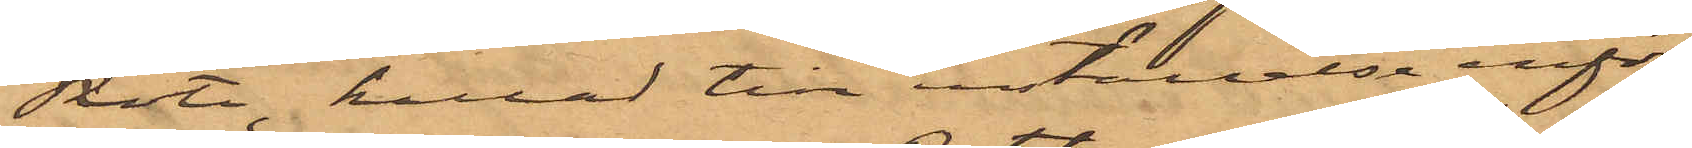Rote, kallad till inställelse inför
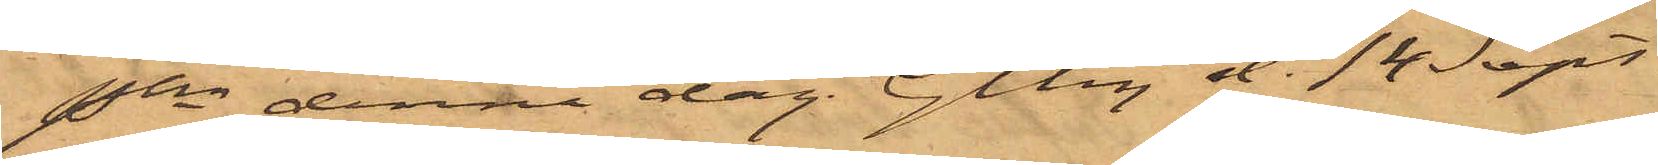Pkn denna dag. Gtbg d. 14 Sept.
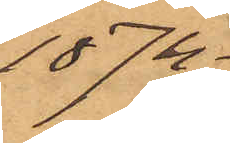1874.
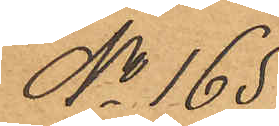No 165
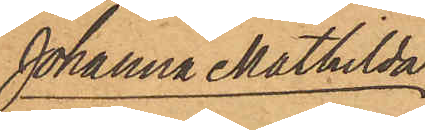Johanna Mathilda
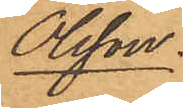Olsson.
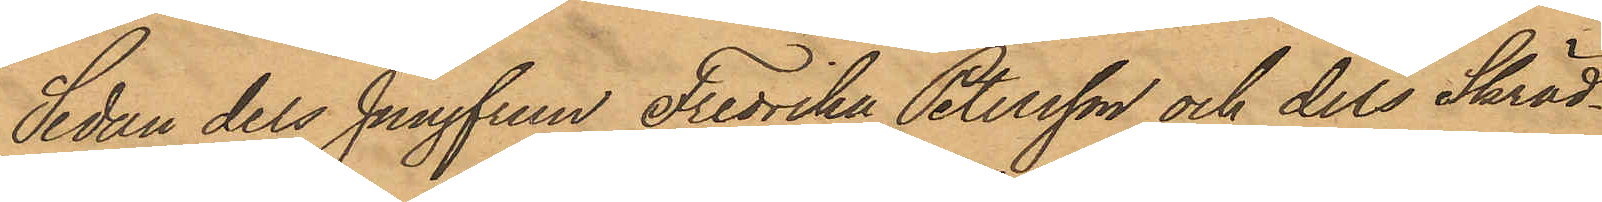Sedan dels Junngfrun Fredrika Petersson och dels Skräd¬
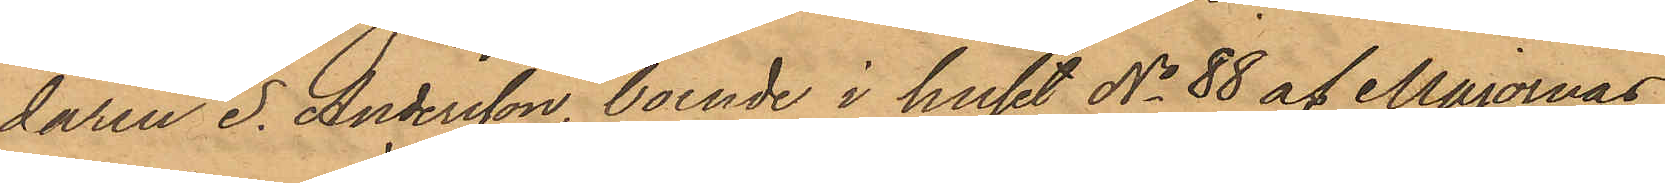daren S. Andersson, boende i huset No 88 af Majornas
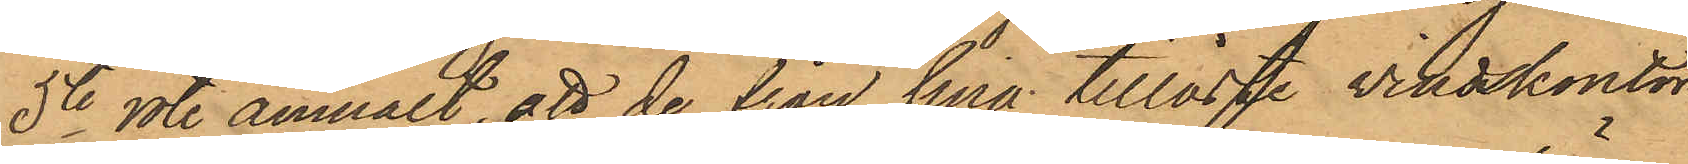5te rote anmält, att de från sina tillåste vindskontor
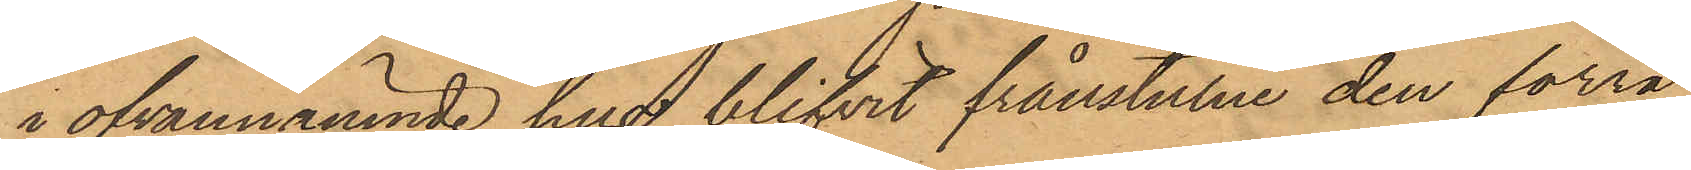i ofvannämnde hus blifvit frånstulne den förra
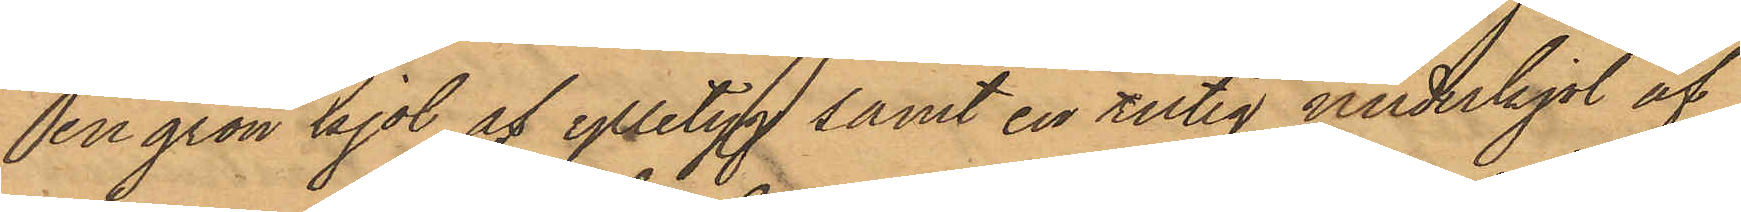en grön kjol af ylletyg samt en rutig underkjol af
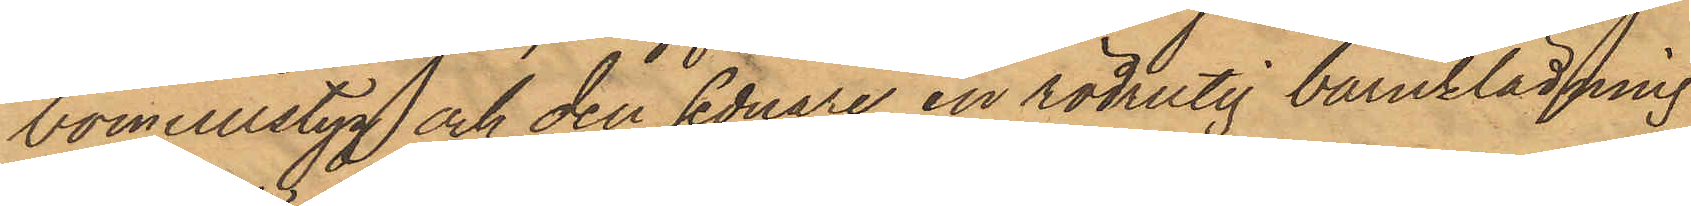bomullstyg och den sednare en rödrutig barnklädning
